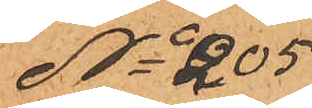No 205
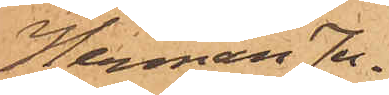Herman Ju¬
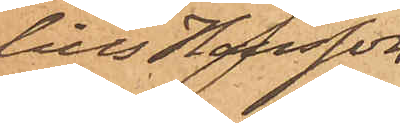lius Hansson.
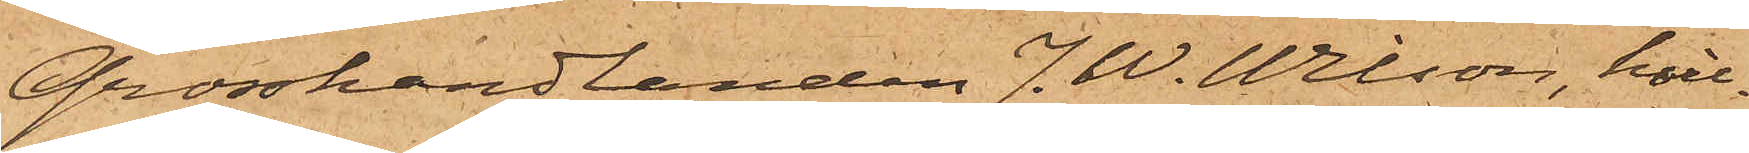Grosshandlanden J. W. Wilson, hvil¬
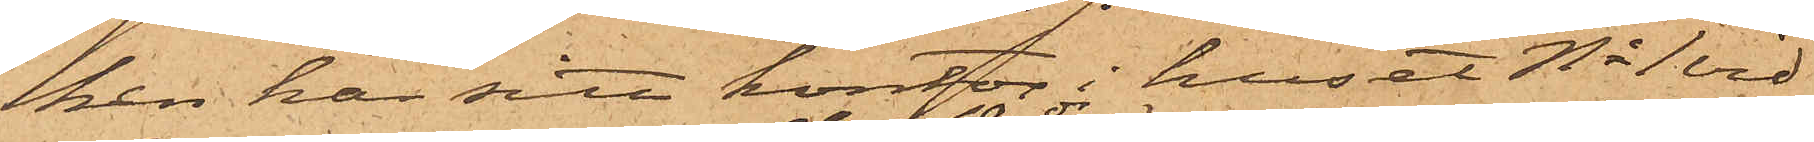ken har sitt kontor i huset No 1 vid
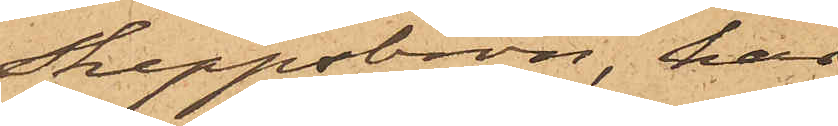Skeppsbron, har
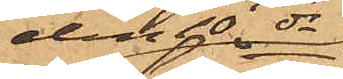den 10 ds
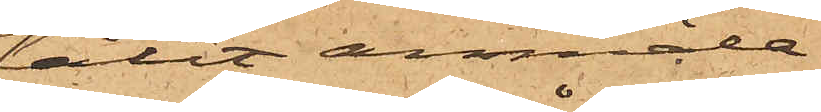låtit anmäla,
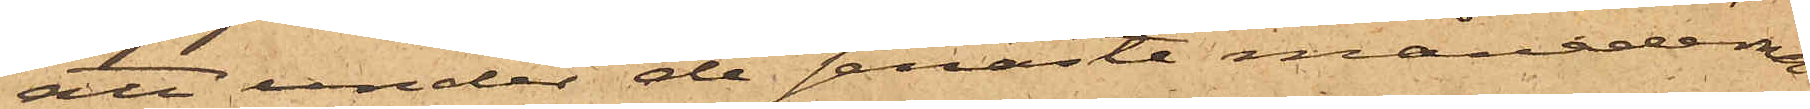att under de senaste månaderna
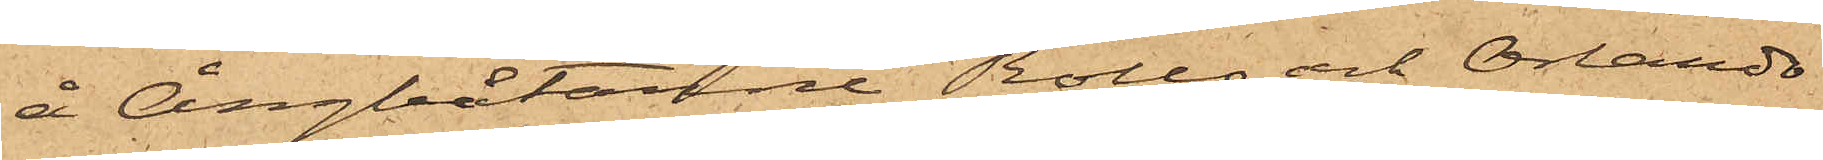å Ångbåtarne Rollo och Orlando
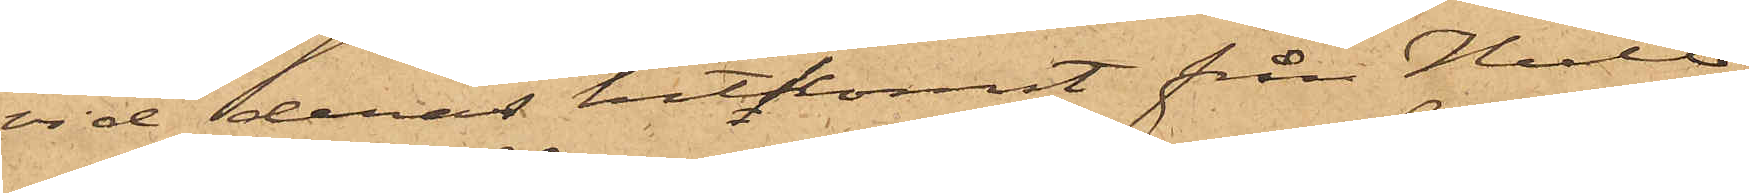vid deras hitkomst från Hull
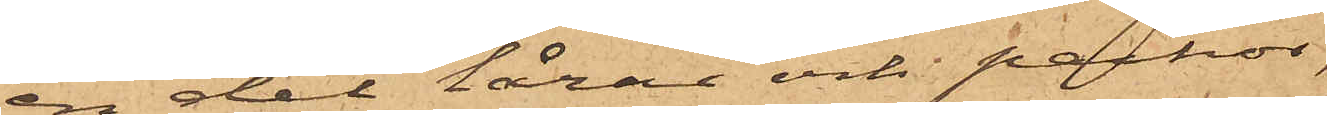en del lårar och packor,
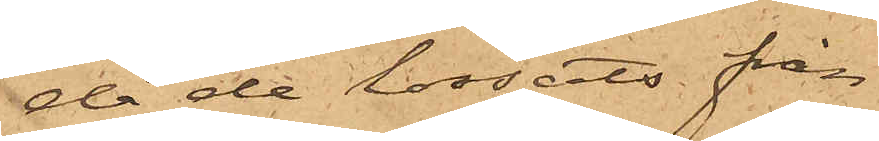då de lossats från
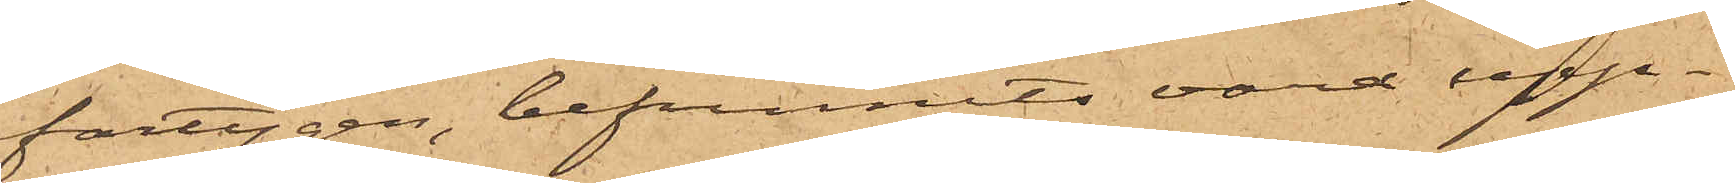fartygen, befunnits vara upp¬
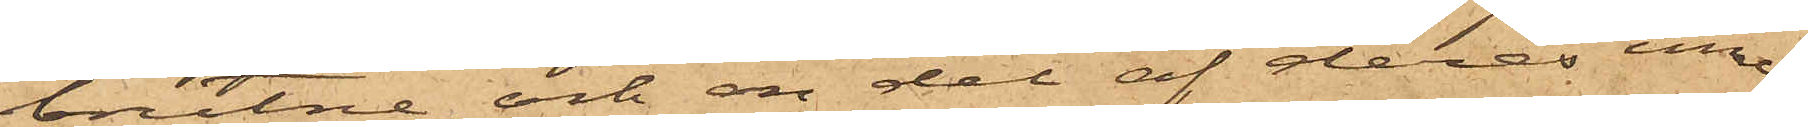brutne och en del af deras inne¬
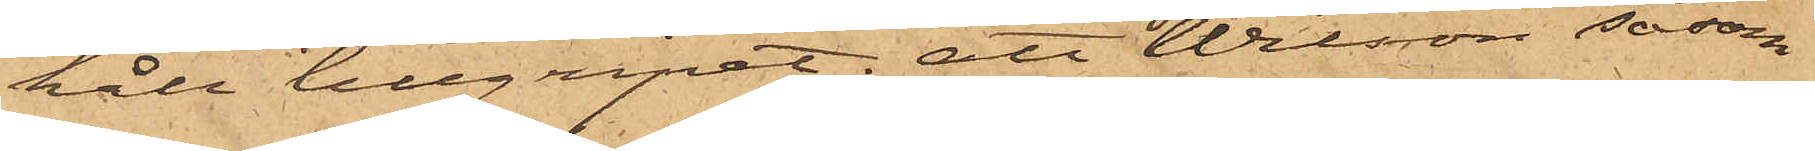håll tillgripet; att Nilsson såsom
